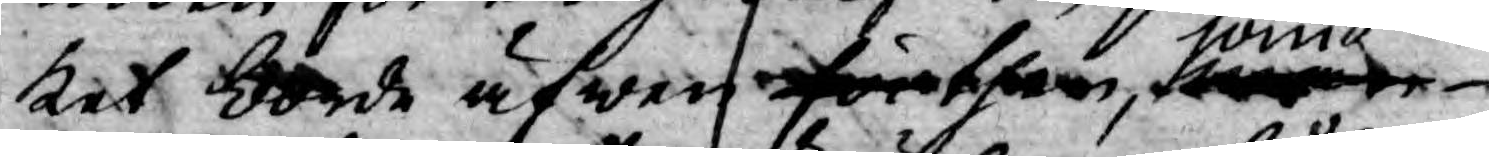ket borde äfwen för then, som
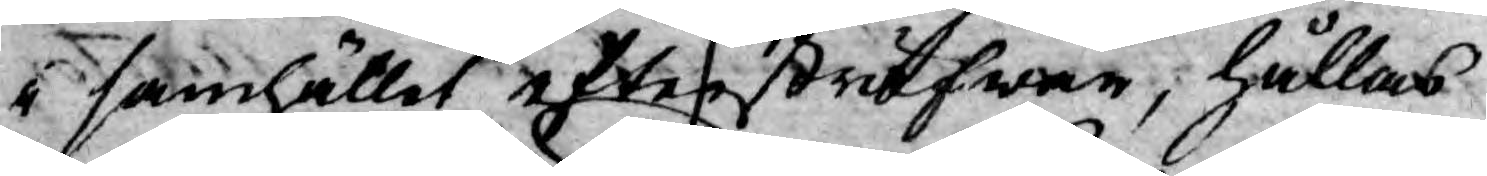i samhället eftersträfwar, hållas
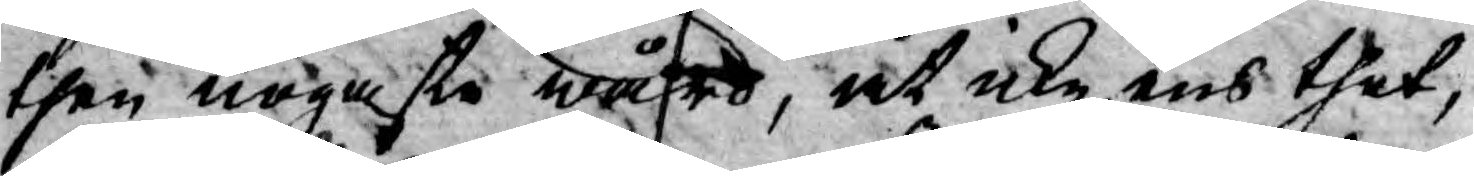then nogaste wård, at icke ens thet,
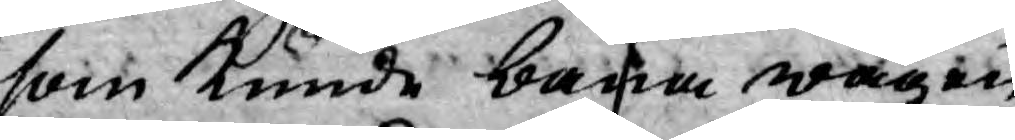som kunde bana wägen
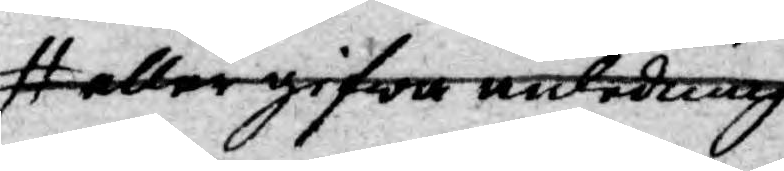eller gifwa anledning
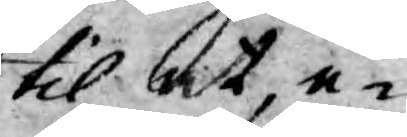til at, e¬
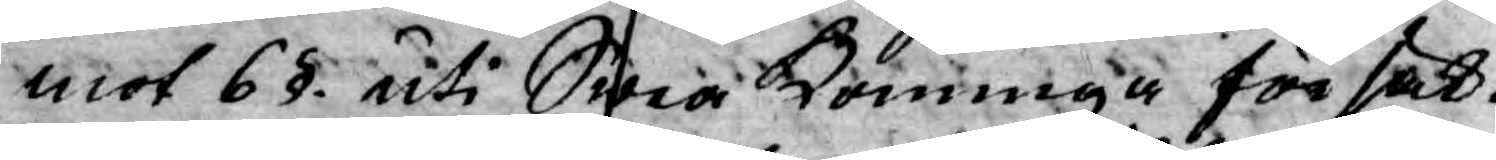mot 6§. uti Swea Konunga försäk¬
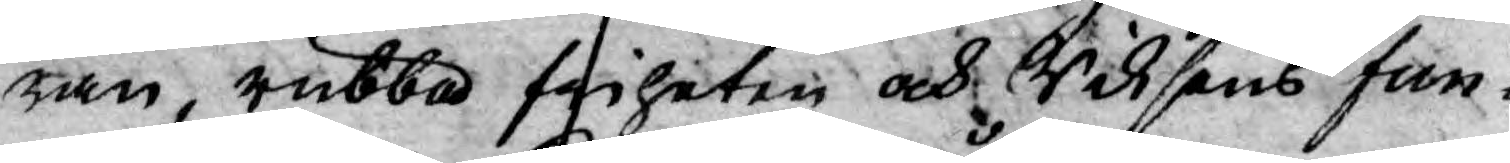ran, rubba friheten och Riksens fun¬
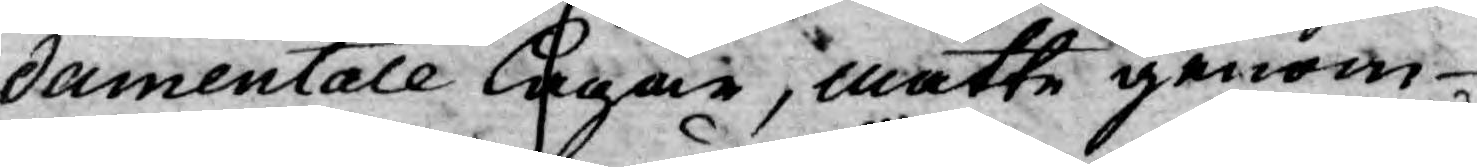damentale lagar, måtte genom
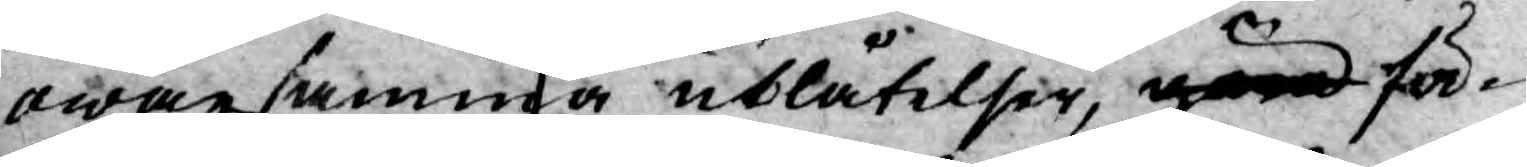owarsamma utlåtelser, göra för¬
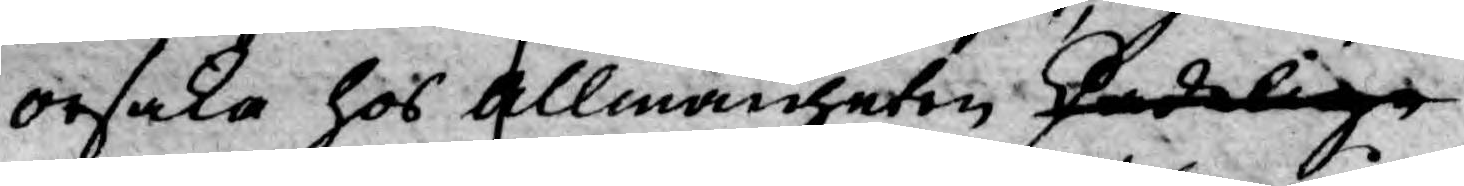orsaka hos Allmänheten skadelige
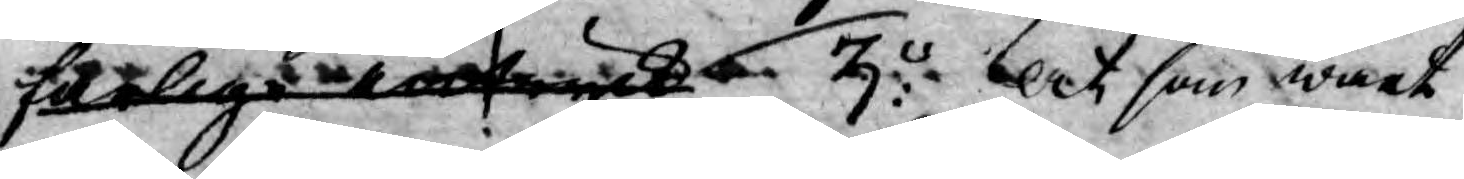farlige intryck. 3o: ock som wårt
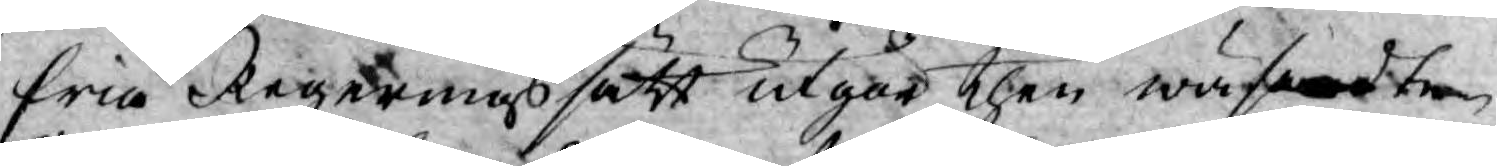fria Regeringssätt utgör then wäsendte¬
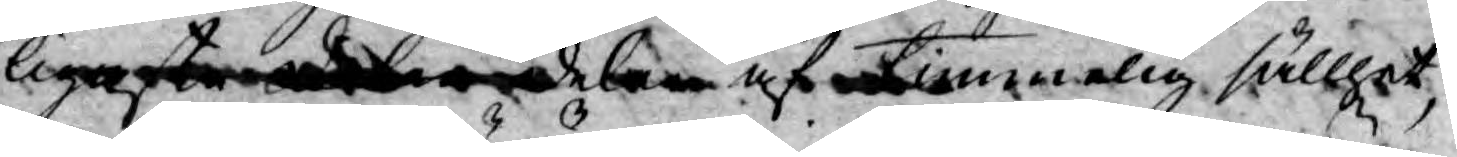ligaste delen delen af timmelig sällhet,
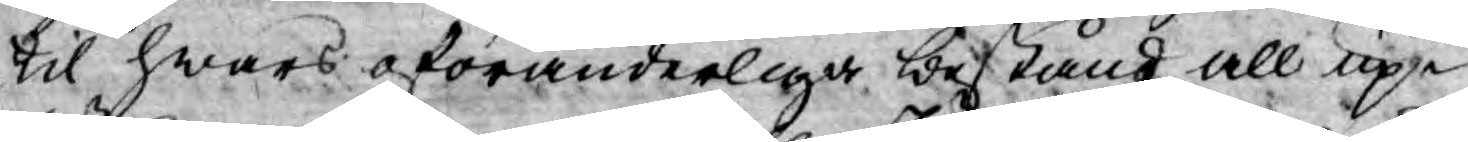til hwars oföränderliga bestånd all up¬
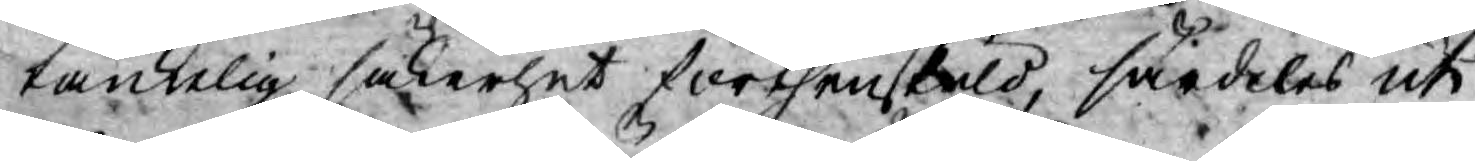tänkelig säkerhet förthenskuld, särdeles uti
